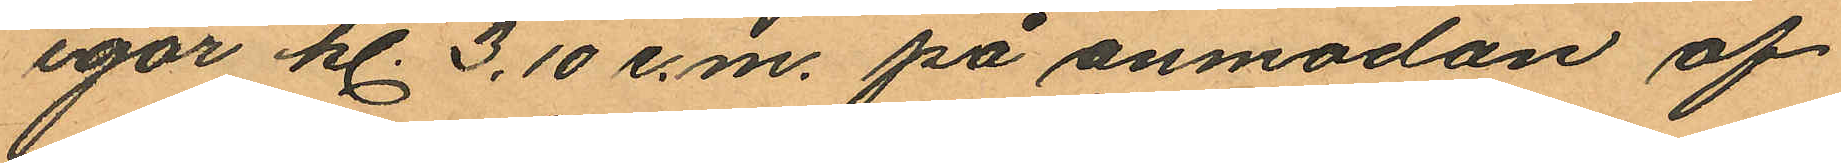igår kl. 3.10 e.m. på anmodan af
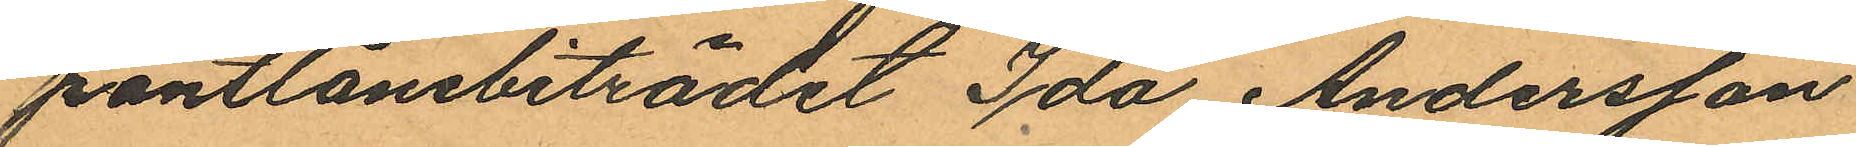pantlånebiträdet Ida Andersson
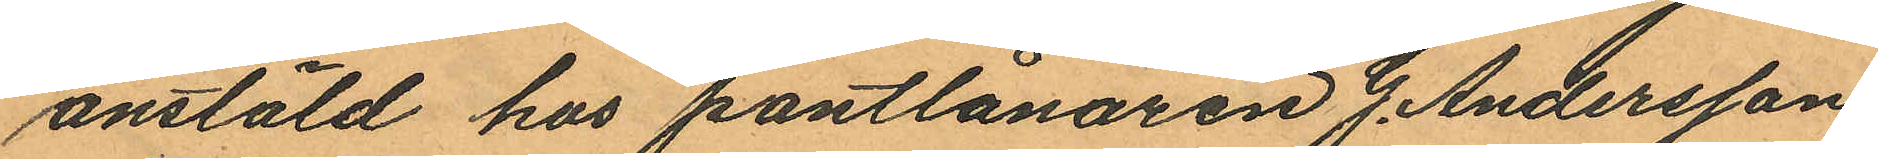anstäld hos pantlånaren G. Andersson
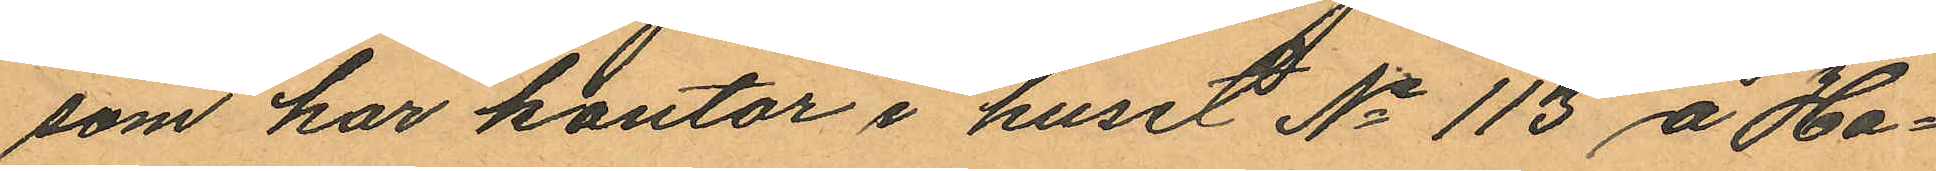som har kontor i huset No 113 å Ha¬
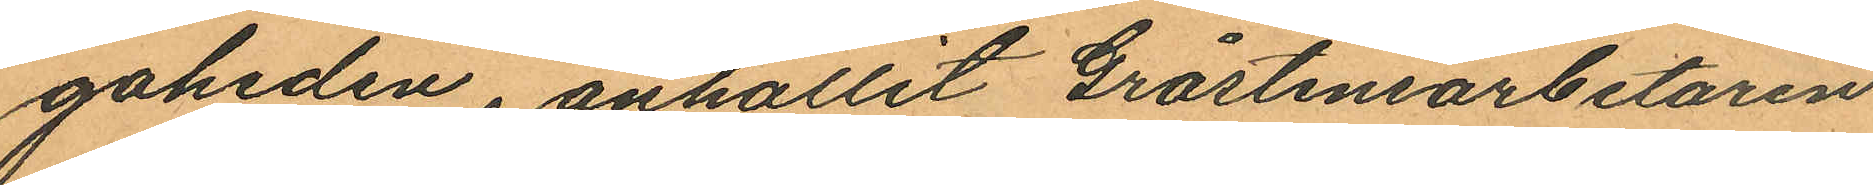gaheden, anhållit Gråstensarbetaren
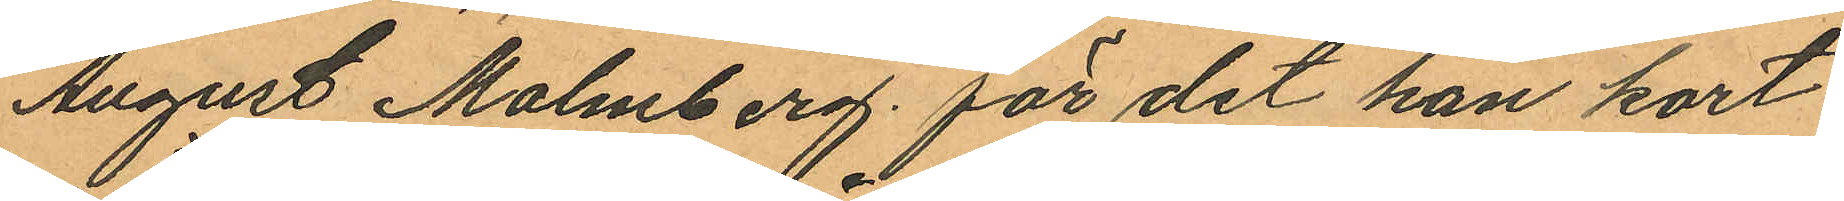August Malmberg, för det han kort
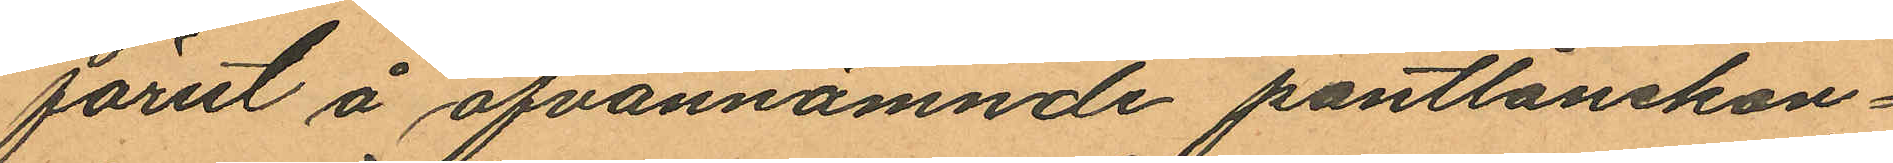förut å ofvannämnde pantlånekon¬
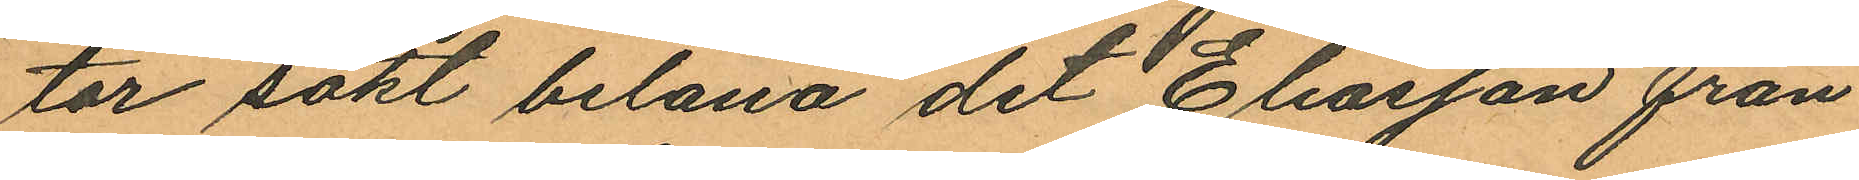tor sökt belåna det Eliasson från
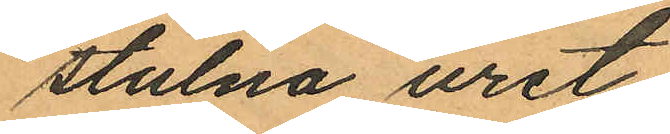stulna uret.
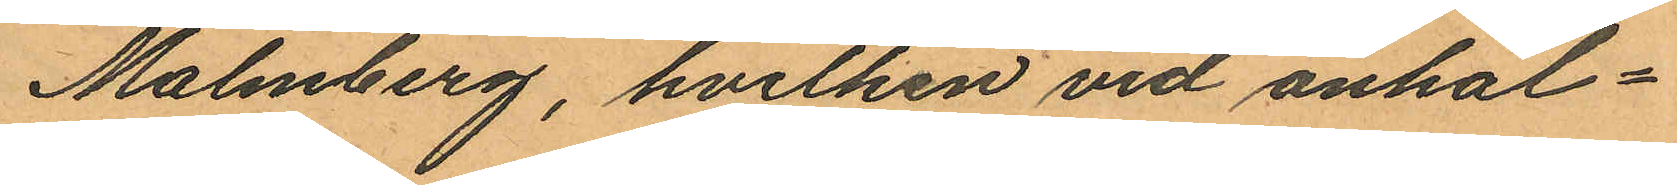Malmberg, hvilken vid anhål¬
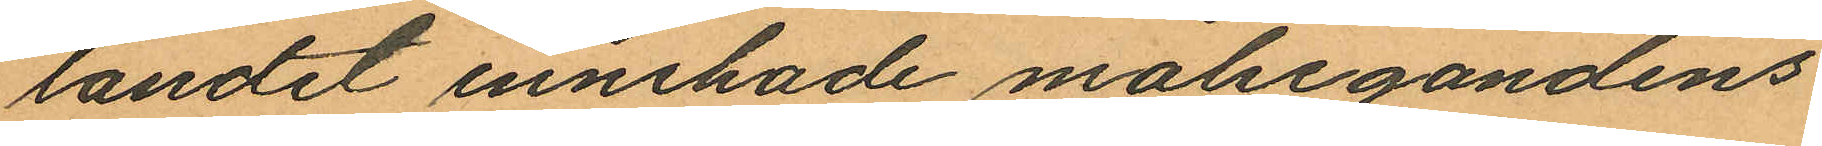landet innehade målsegandens
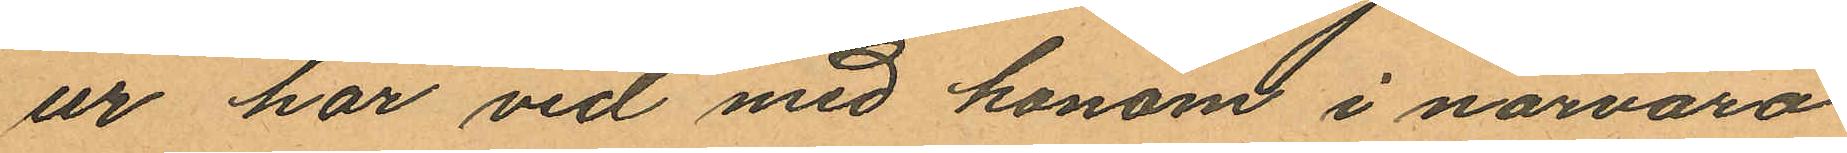ur har vid med honom i närvaro
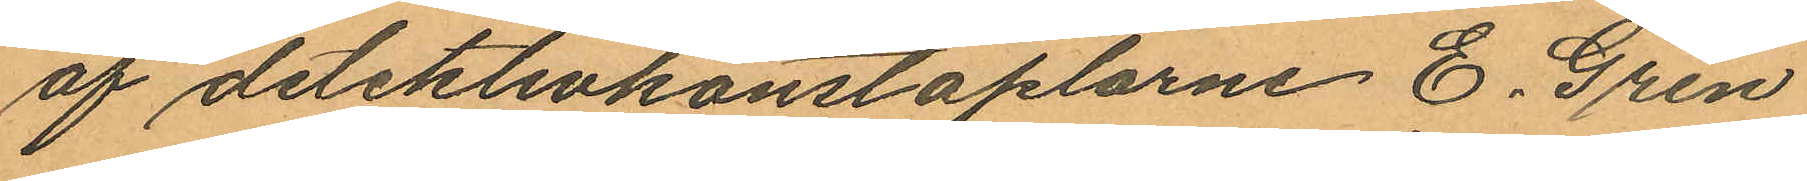af detektivkonstaplarne E. Gren
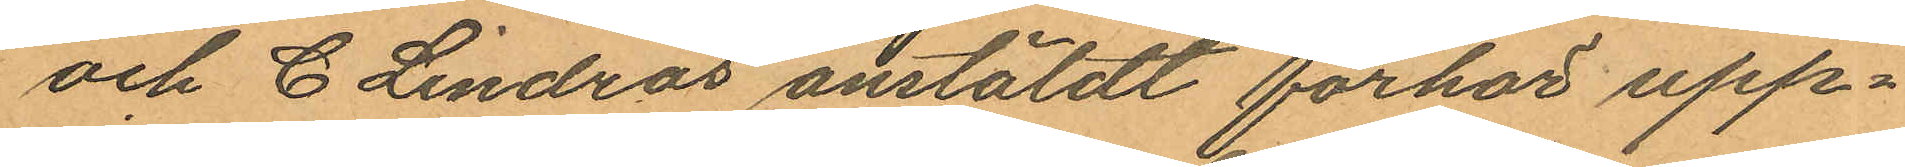och C. Lindros anstäldt förhör upp¬
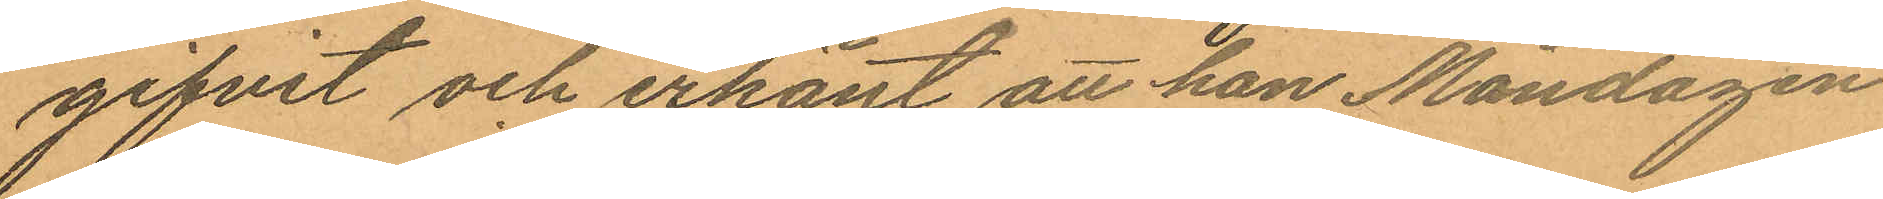gifvit och erkänt att han Måndagen
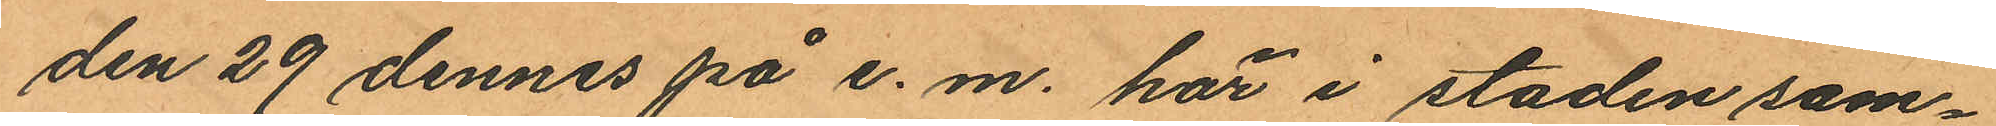den 29 dennes på e. m. här i staden sam¬
